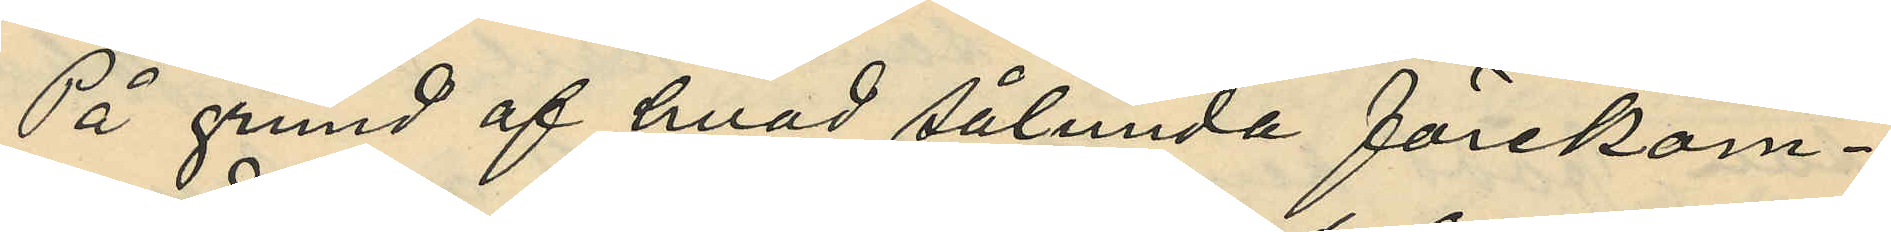På grund af hvad sålunda förekom¬
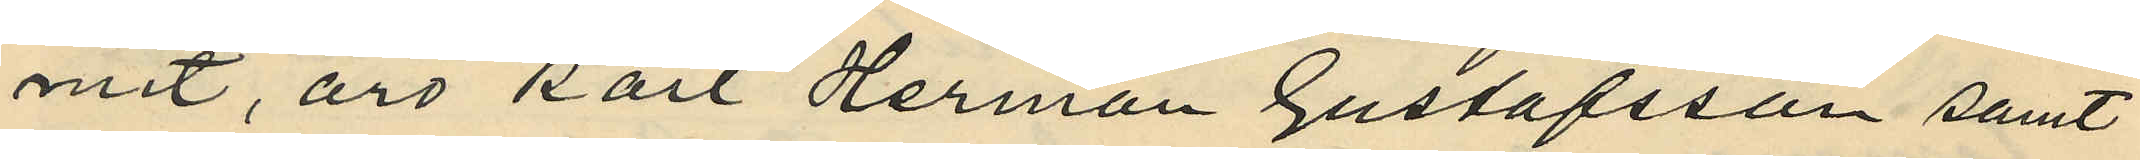mit, äro Karl Herman Gustafsson samt
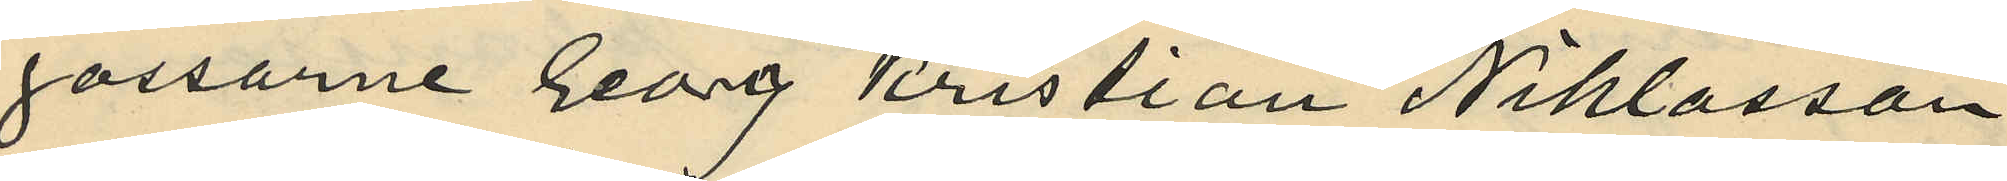gossarne Georg Kristian Niklasson
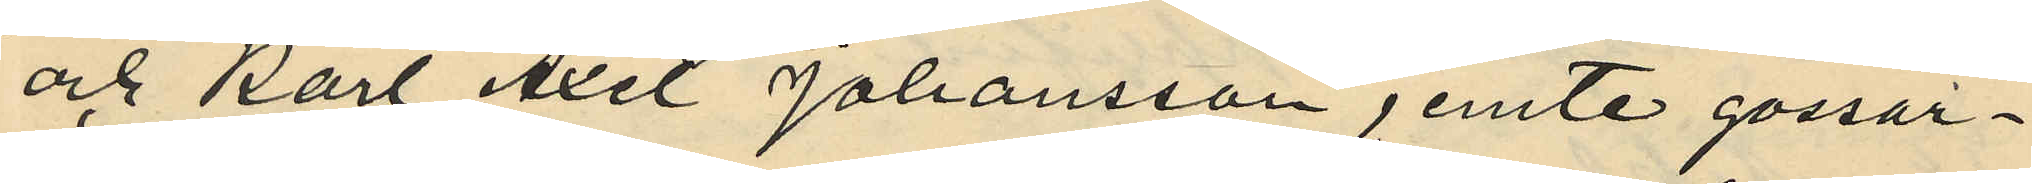och Karl Axel Johansson jemte gossar¬
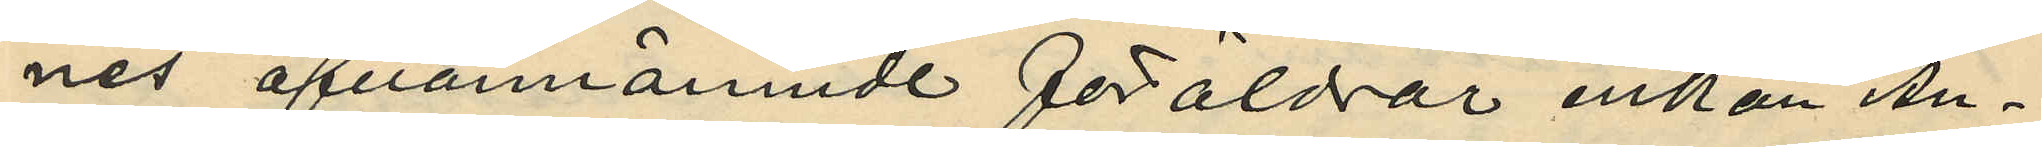nes ofvannämnde föräldrar enkan An¬
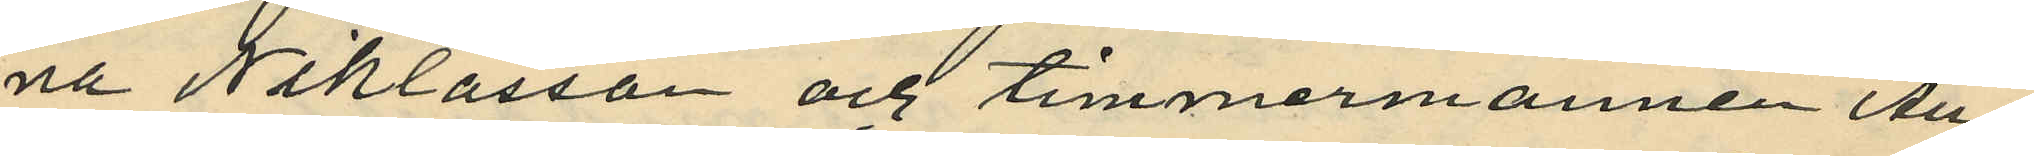na Niklasson och timmermannen Au¬
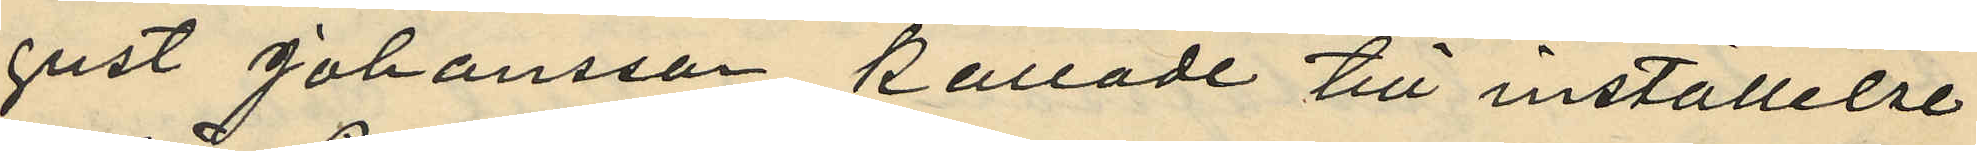gust Johansson kallade till inställelse
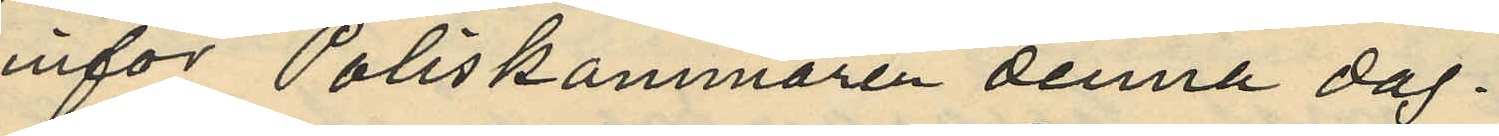inför Poliskammaren denna dag.
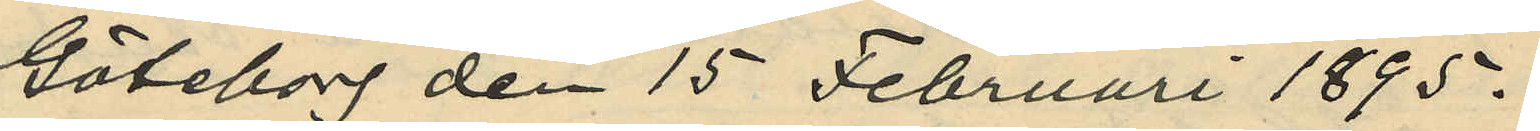Göteborg den 15 Februari 1895.
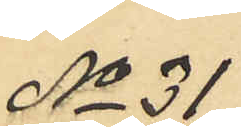No 31
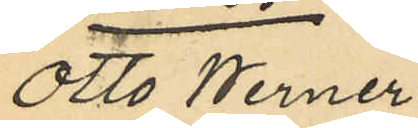Otto Werner
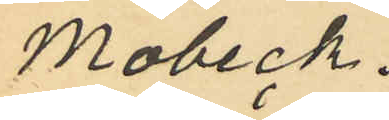Mobeck.
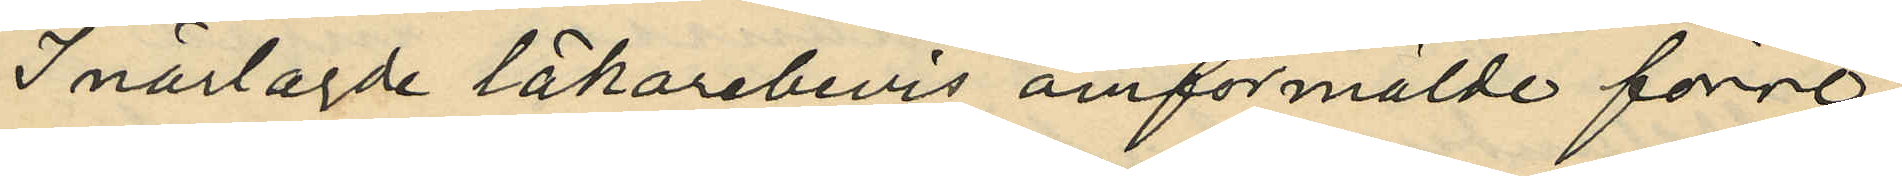I närlagde läkarebevis omförmälde förre
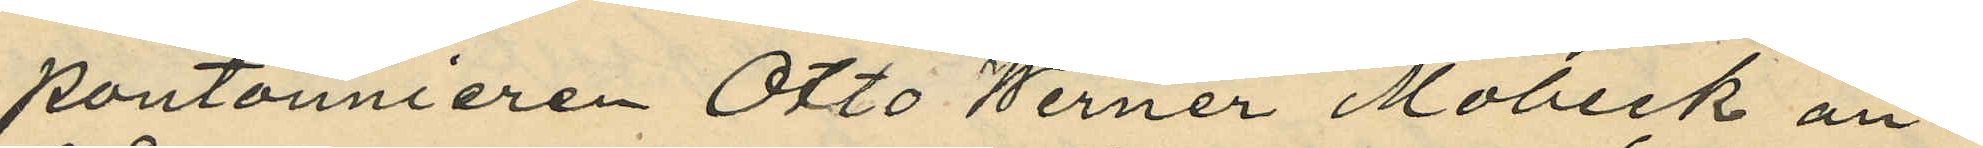pontonnieren Otto Werner Mobeck an¬
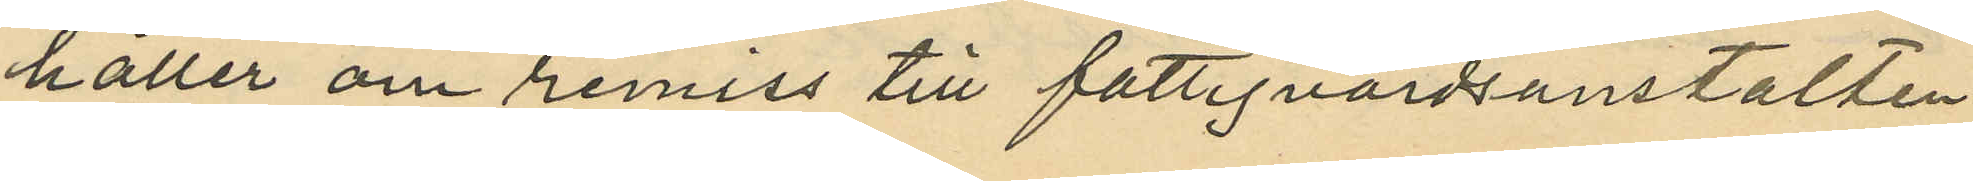håller om remiss till fattigvårdsanstalten
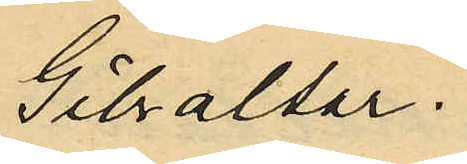Gibraltar.
